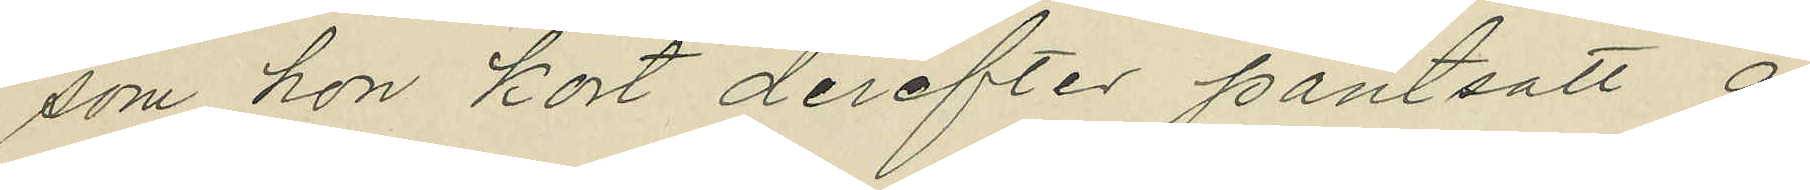som hon kort derefter pantsatt å
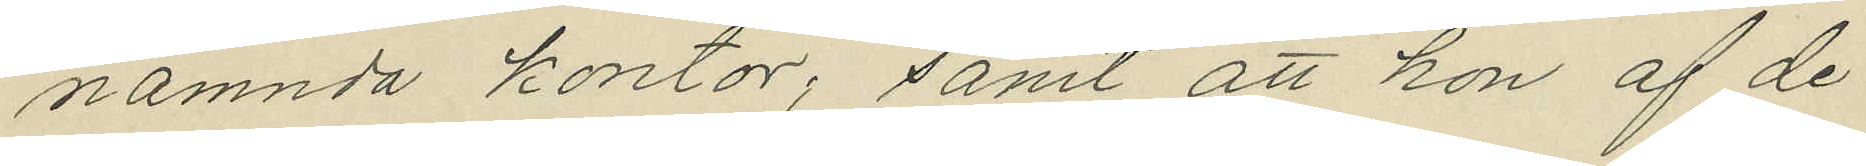nämnda kontor, samt att hon af de
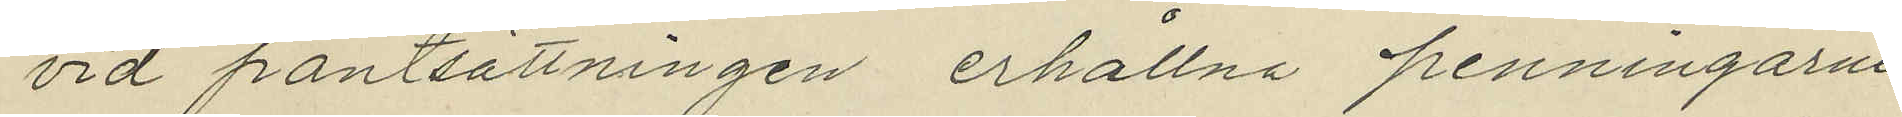vid pantsättningen erhållna penningarne
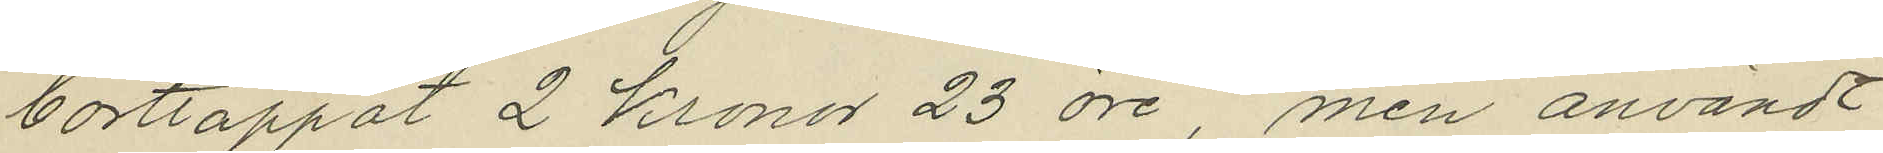borttappat 2 Kronor 23 öre, men användt
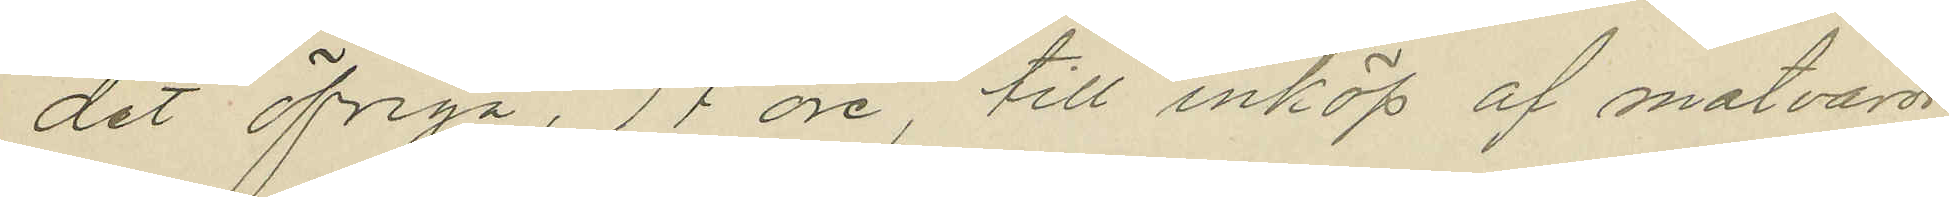det öfriga, 77 öre till inköp af matvaror.
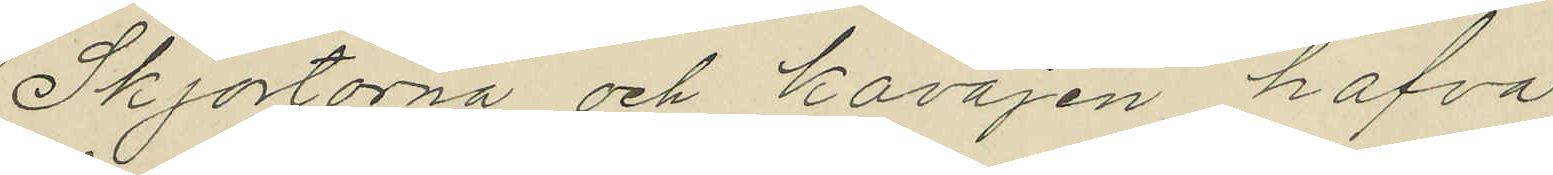Skjortorna och kavajen hafva
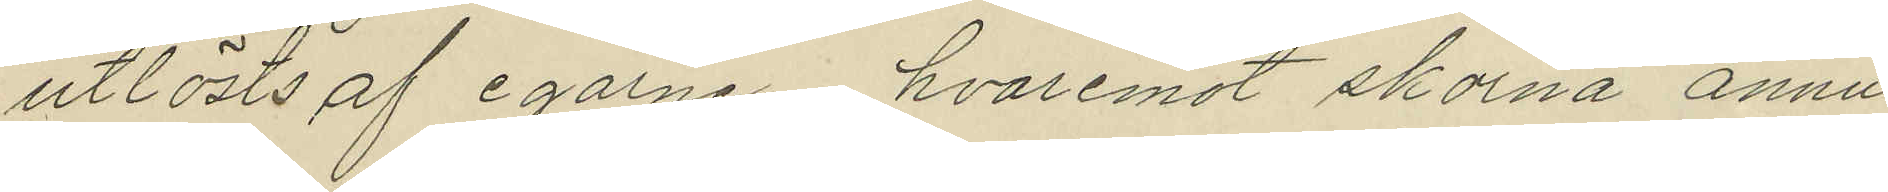utlösts af egarne, hvaremot skorna ännu
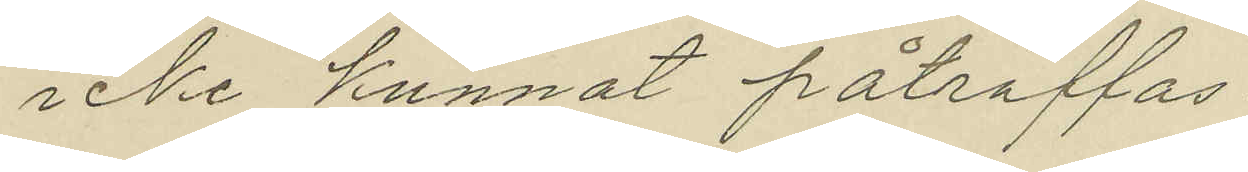icke kunnat påträffas.
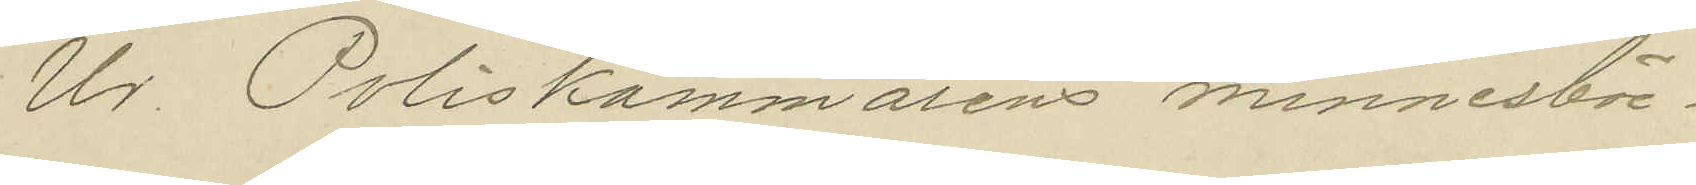Ur Poliskammarens minnesböc¬
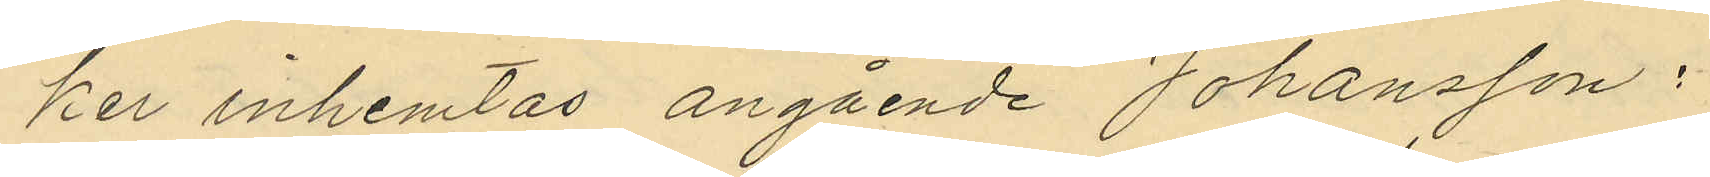ker inhemtas angående Johansson:
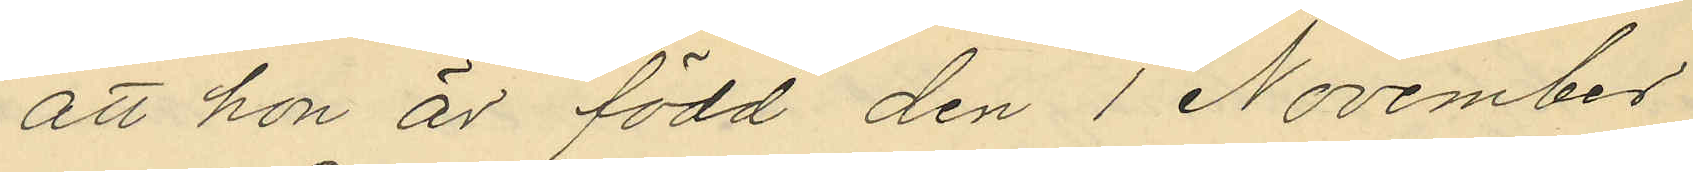att hon är född den 1 November
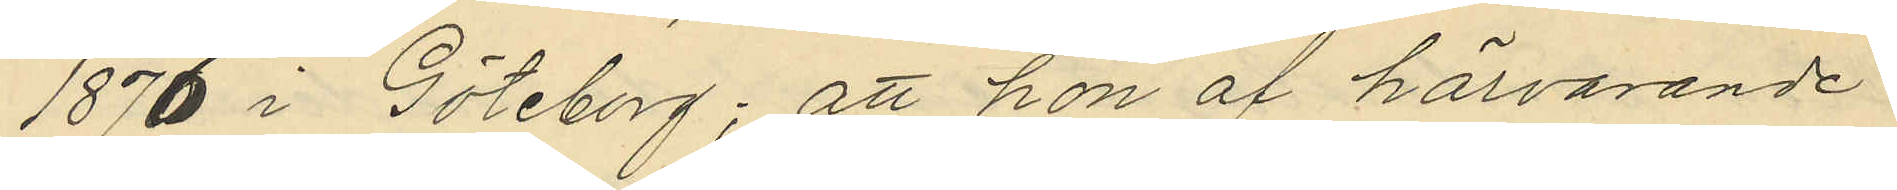1876 i Göteborg; att hon af härvarande
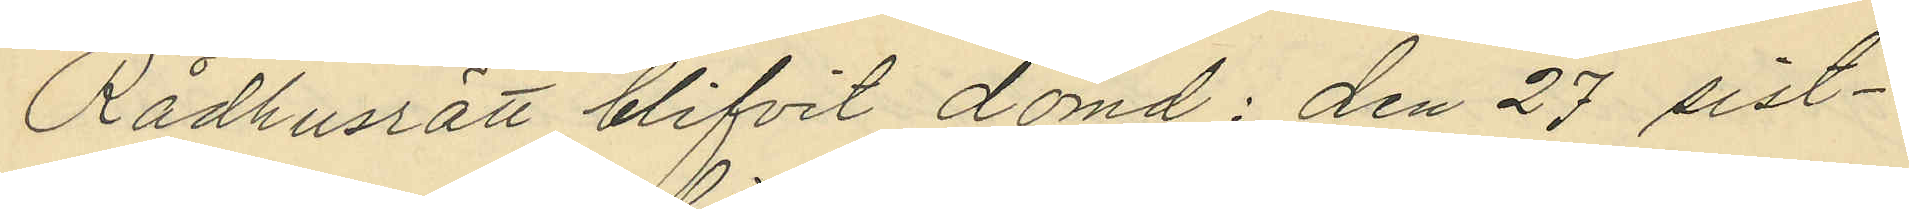Rådhusrätt blifvit dömd: den 27 sist¬
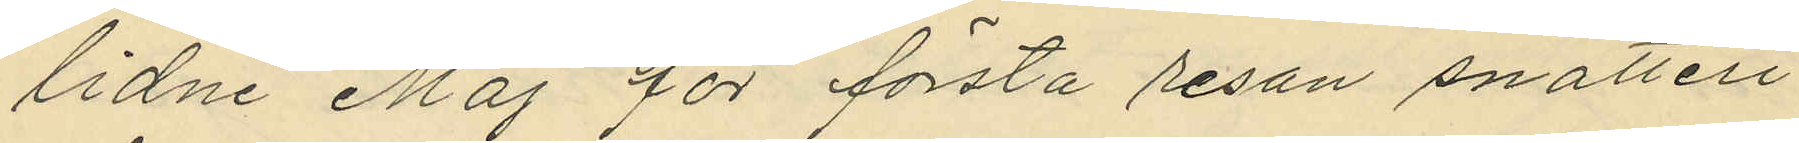lidne Maj för första resan snatteri
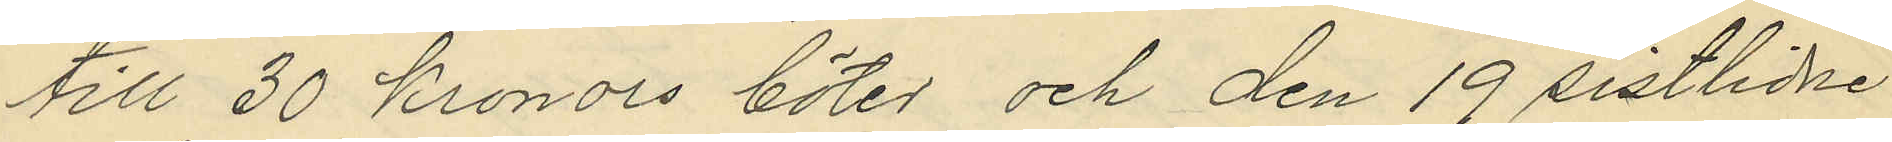till 30 kronors böter och den 19 sistlidne
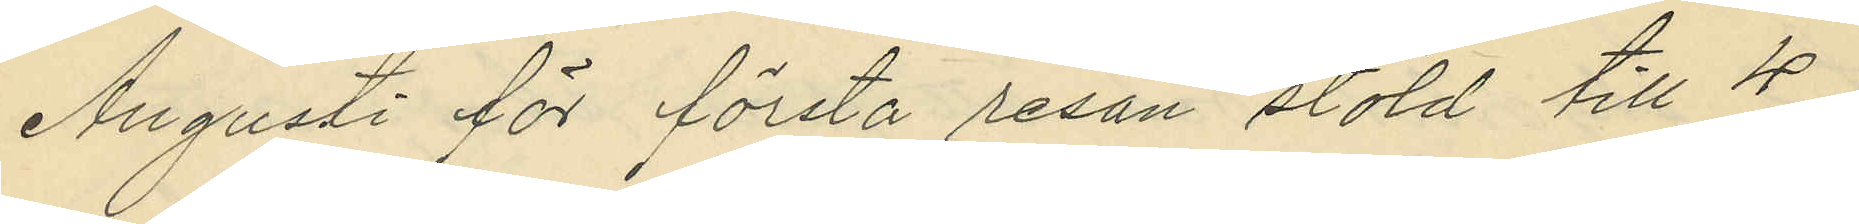Augusti för första resan stöld till 4
